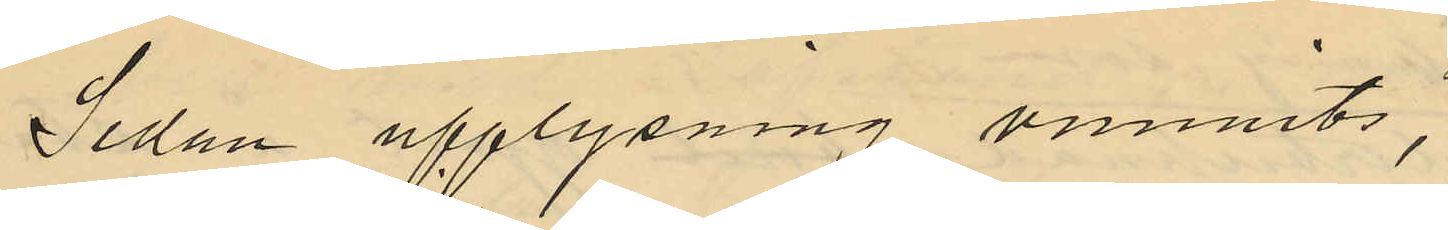Sedan upplysning vunnits,
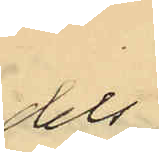dels
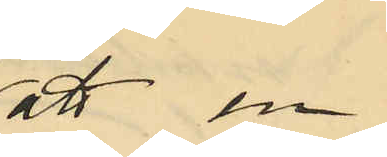att en
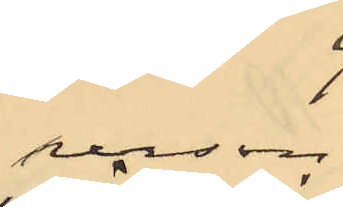person
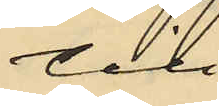till
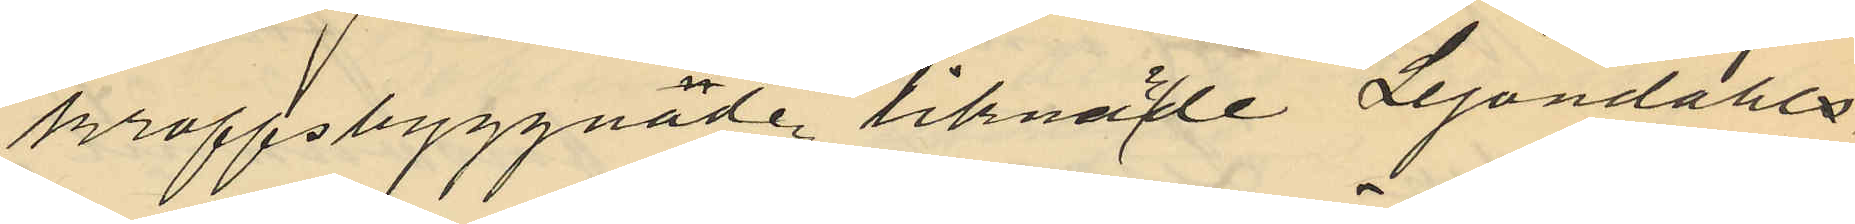kroppsbyggnaden liknade Lejondahls
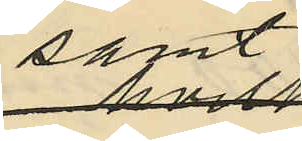samt
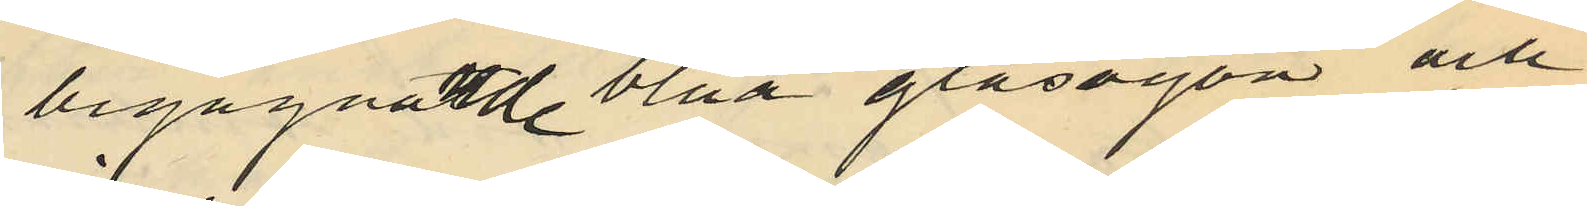begagnade blåa glasögon och
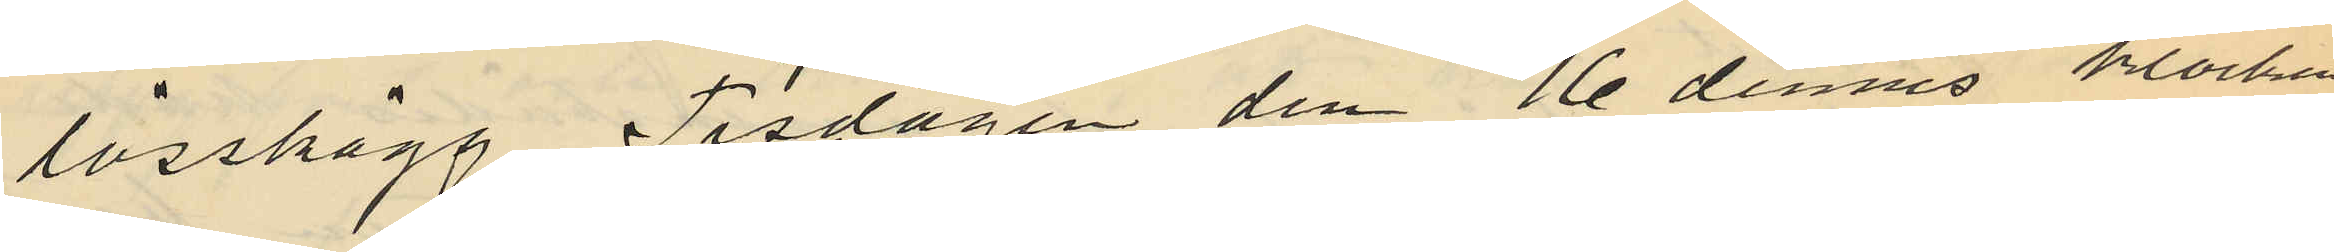lösskägg, Tisdagen den 16 dennes klockan
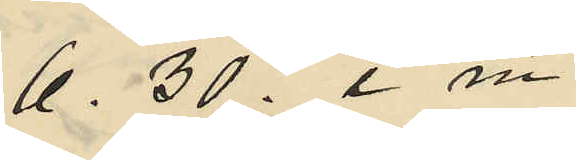6. 30 e m
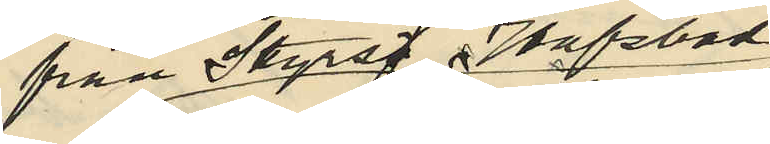från Styrsö Hafsbad
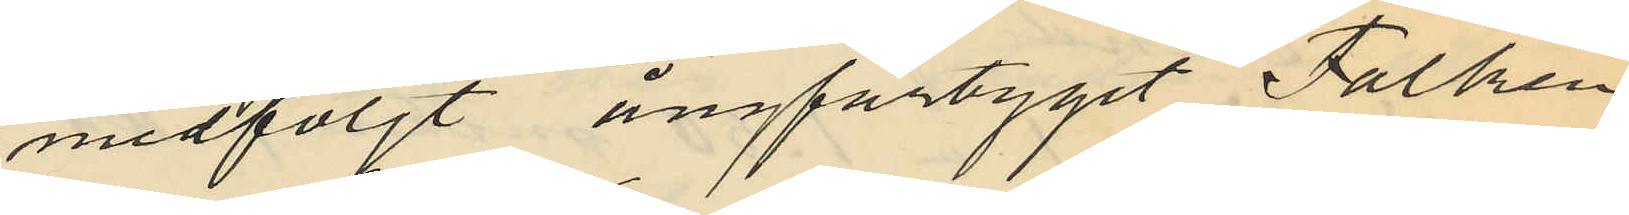medföljt ångfartyget "Falken"
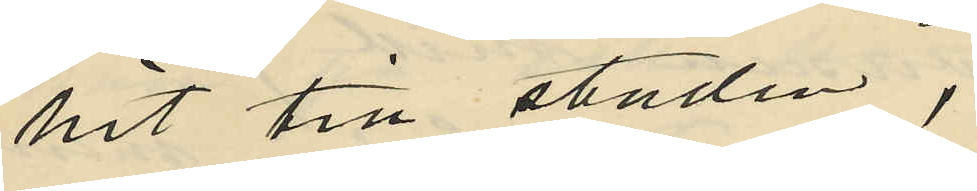hit till staden,
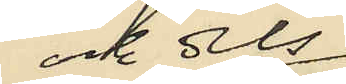och dels
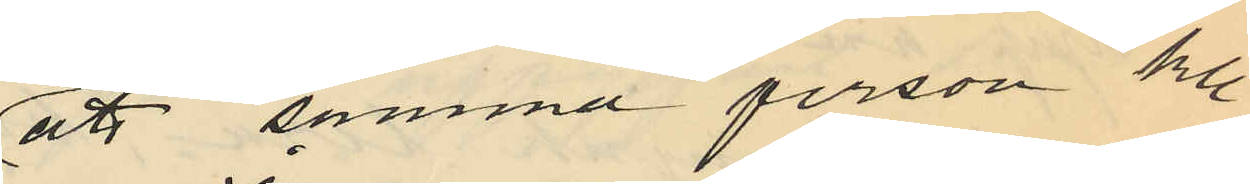att samma person kl.
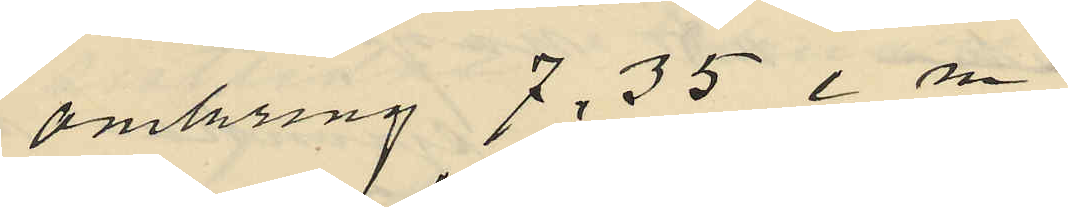omkring 7,35 e m
